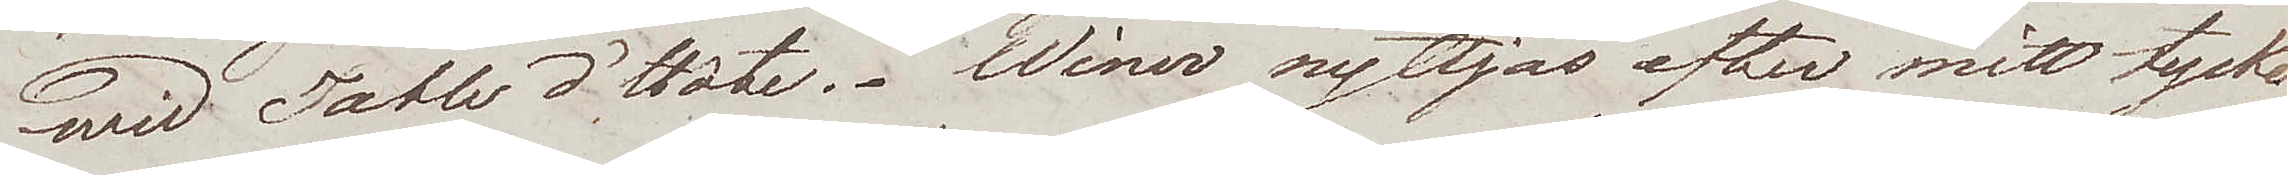wid Table d'Hôte. Winer nyttjas efter mitt tycke
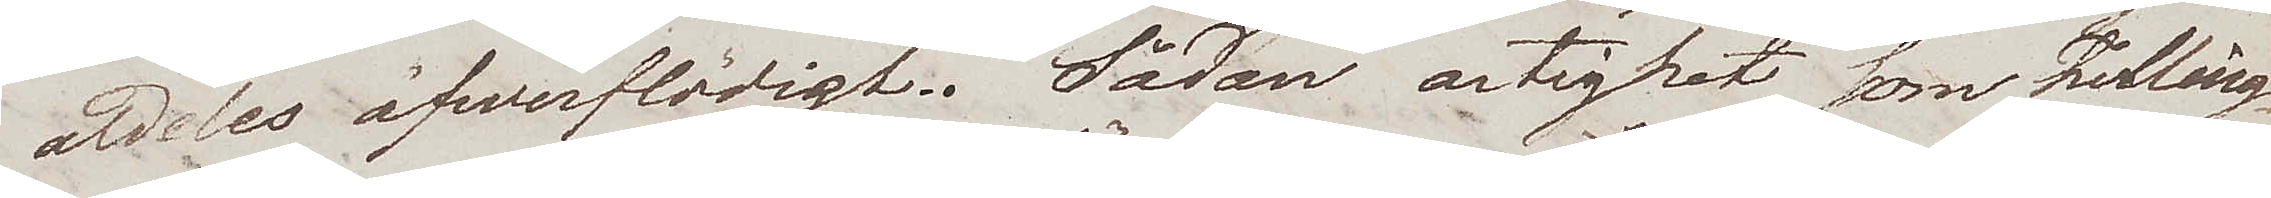aldeles öfwerflödigt. Sådan artighet som Felling¬
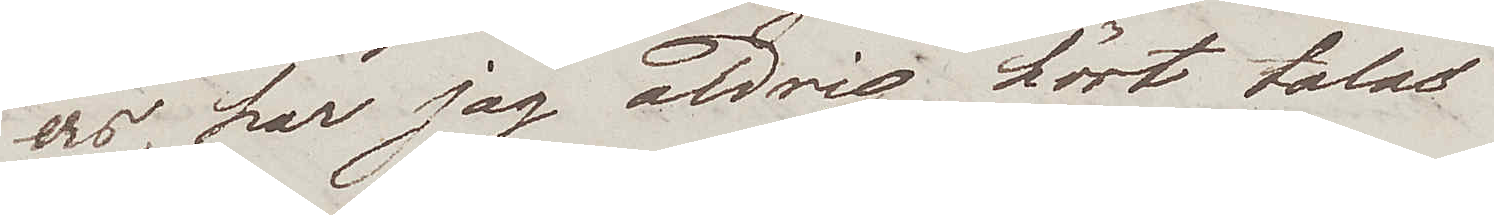ers, har jag aldrig hört talas
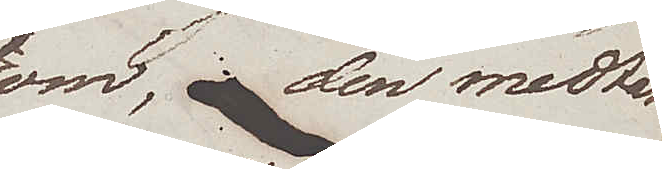om, den mattar
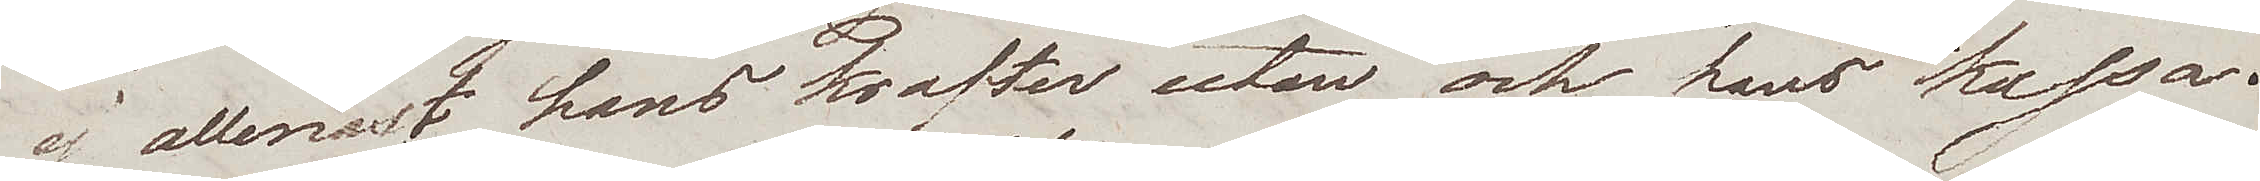ej allenast hans krafter utan ock hans kassa.
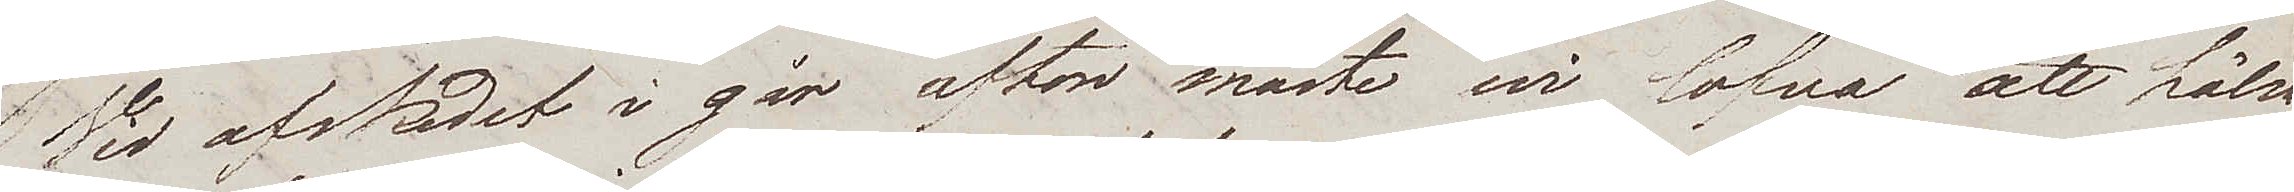Vid afskedet i går afton måste wi lofva att hälsa
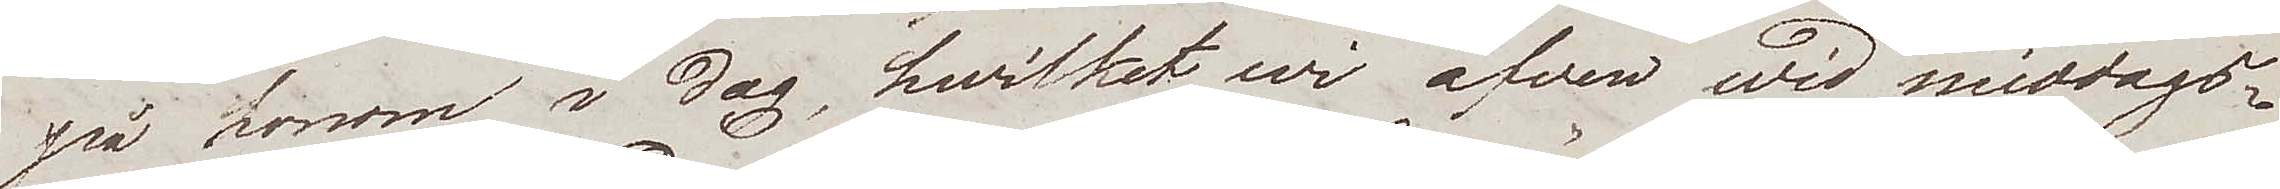på honom i dag, hvilket wi äfven wid middags¬
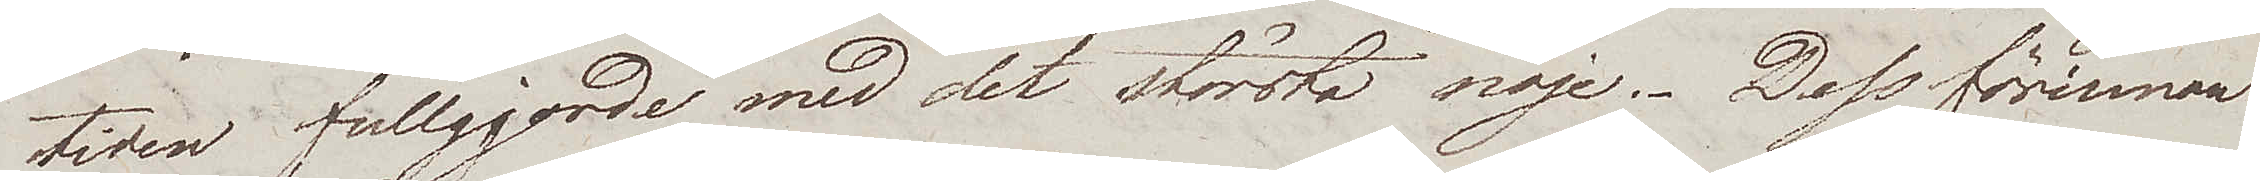tiden fullgjorde med det största nöje. Dessförinnan
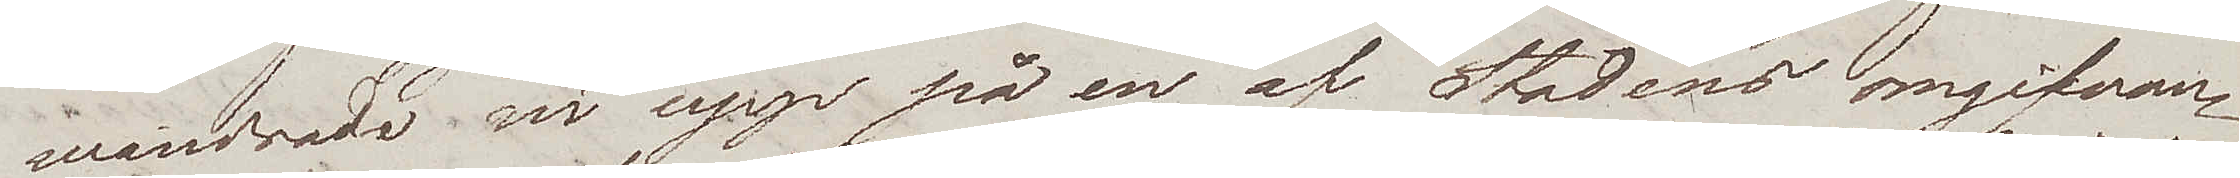wandrade wi upp på en af Stadens omgifvan¬
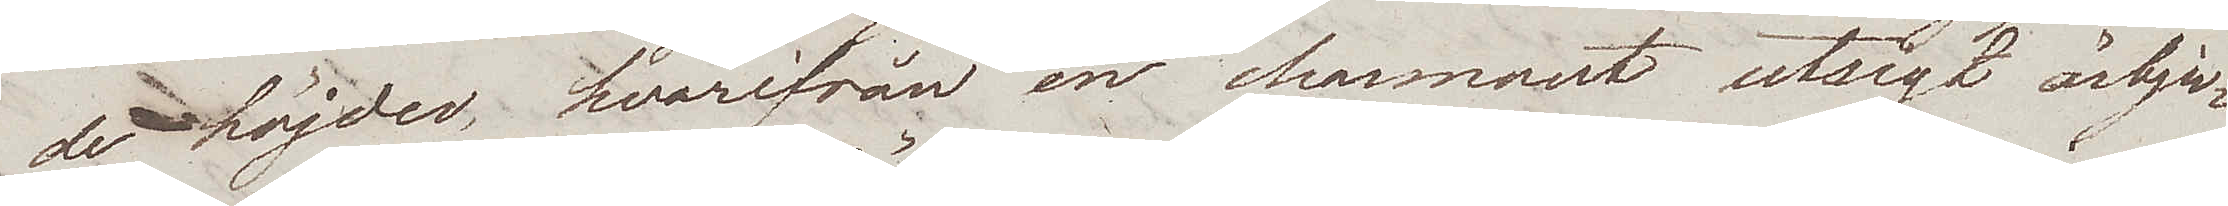de höjder, hvarifrån en charmant utsigt ärbju¬
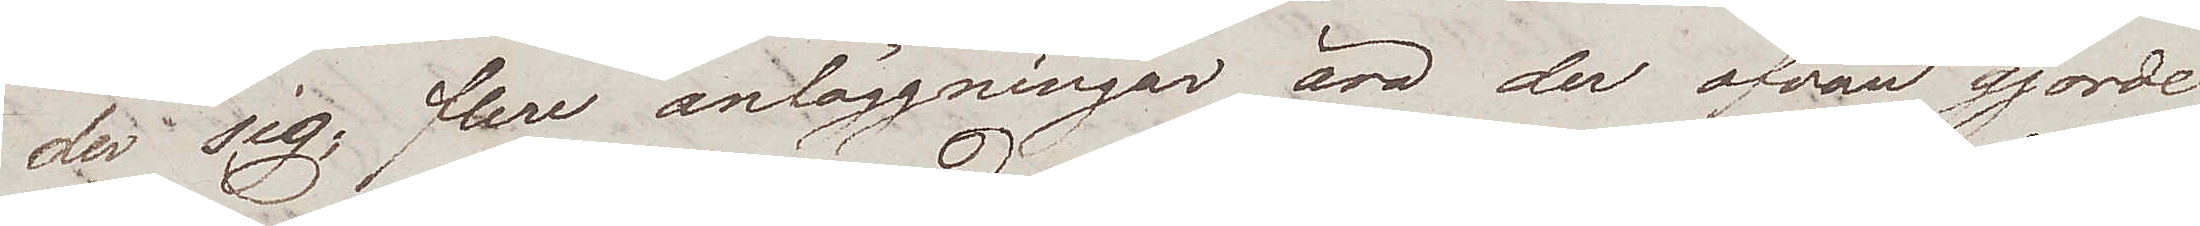der sig; flere anläggningar äro der ofvan gjorde
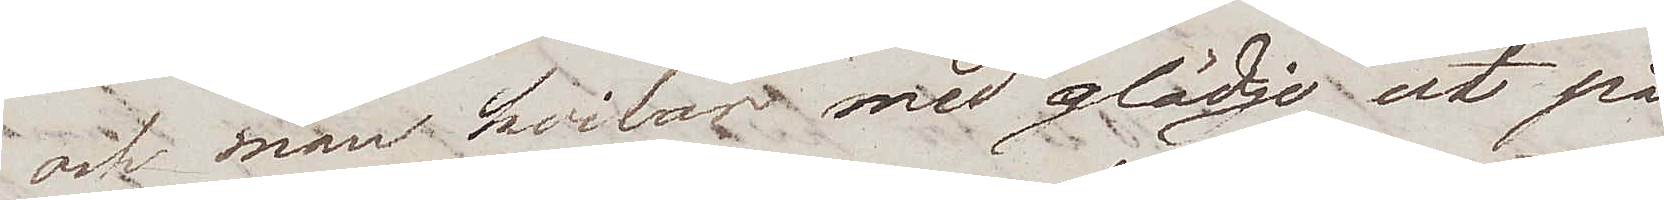och man hvilar med glädje ut på
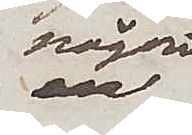någon
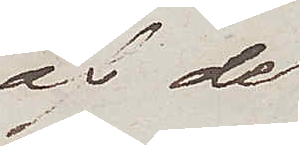af de
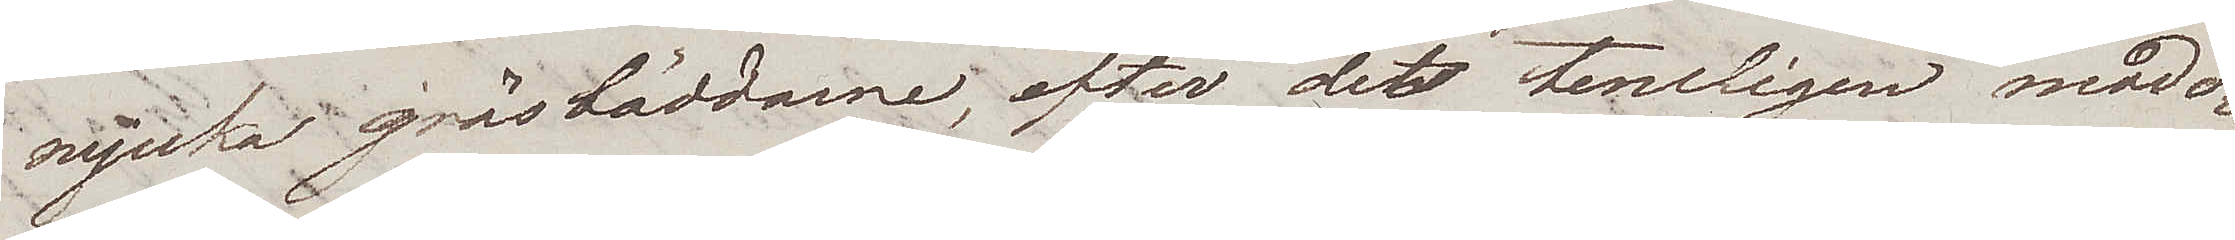mjuka gräsbäddarne, efter det temligen mödo¬
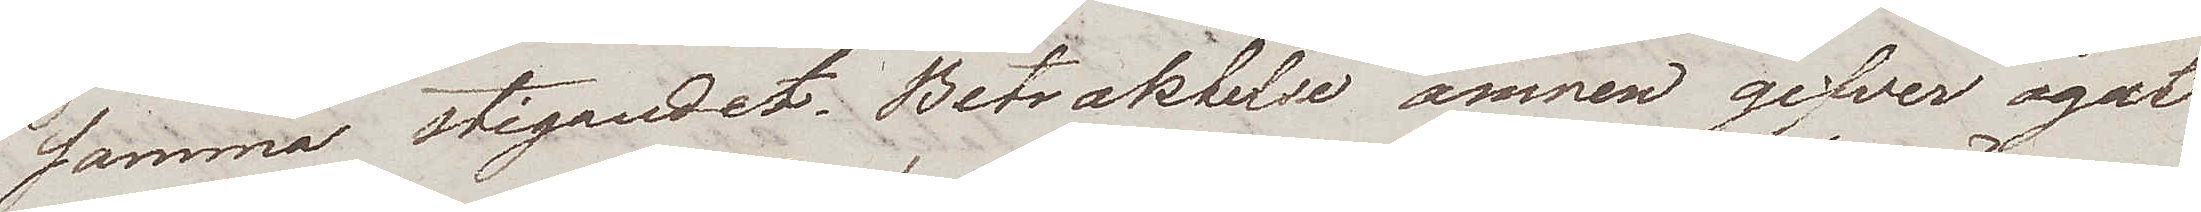samma stigandet. Betraktelse ämnen gifver ögat
